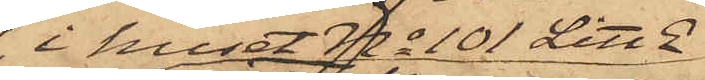i huset No 101 Litt E
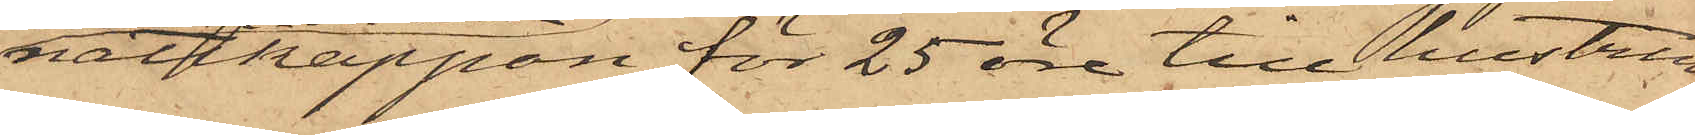nattkappan för 25 öre till hustrun
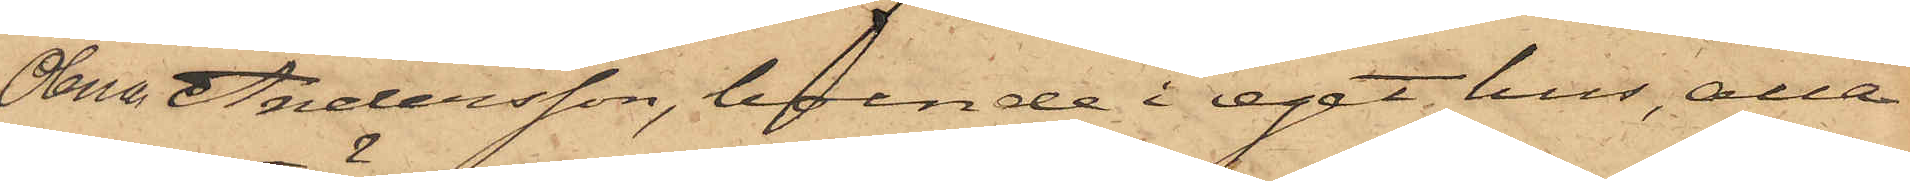Olena Andersson, boende i eget hus, alla
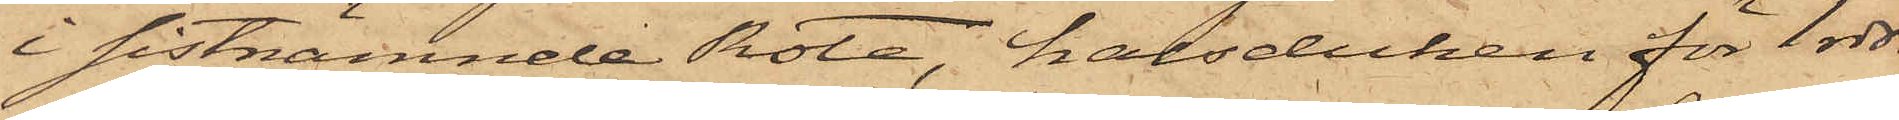i sistnämnde Rote, halsduken för 1 rdr
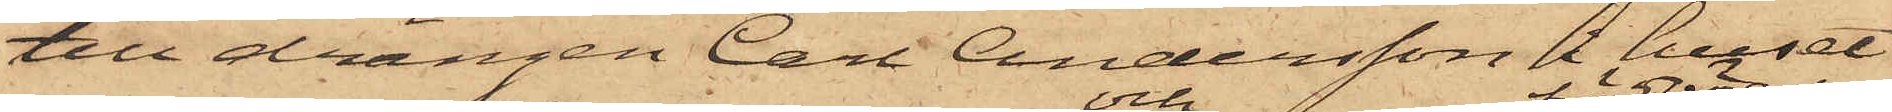till drängen Carl Andersson i huset
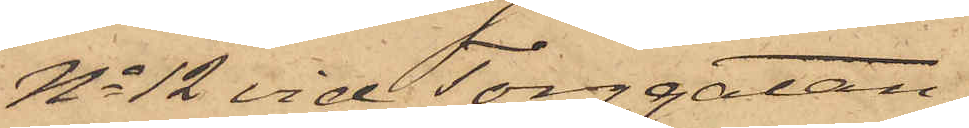No 12 vid Torggatan,
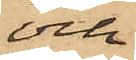och
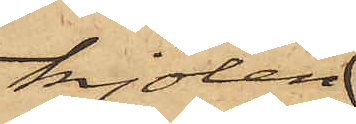kjolen
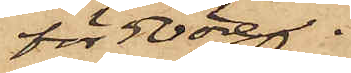för 50 öre
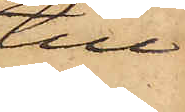till
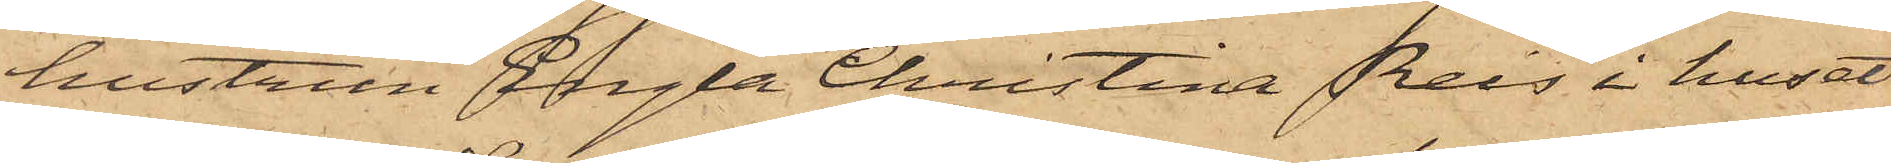hustrun Engla Christina Reis i huset
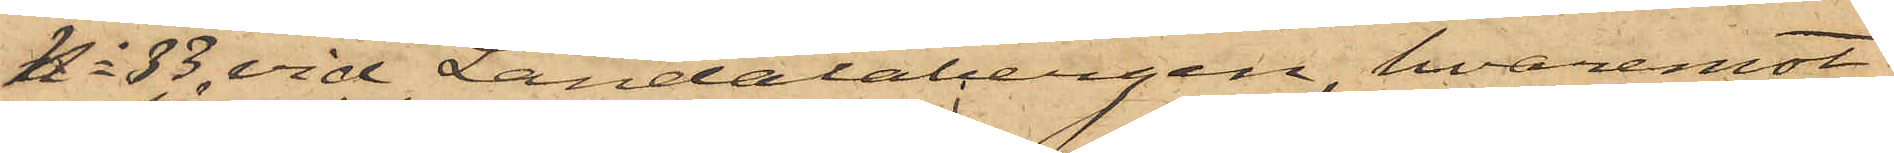No 83 vid Landalabergen, hvaremot
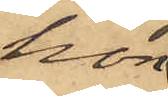hon
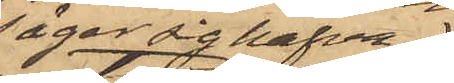säger sig hafva
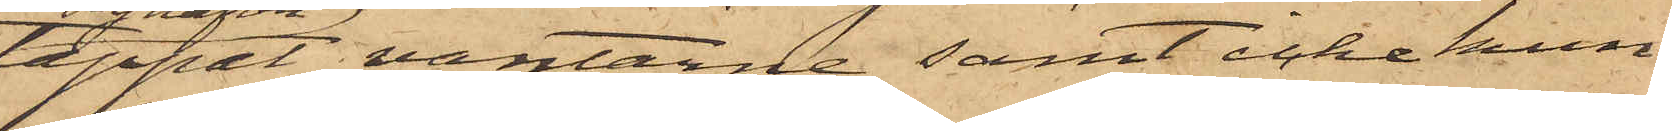tappat vantarne samt icke kun¬
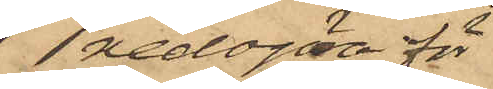redogöra för,
